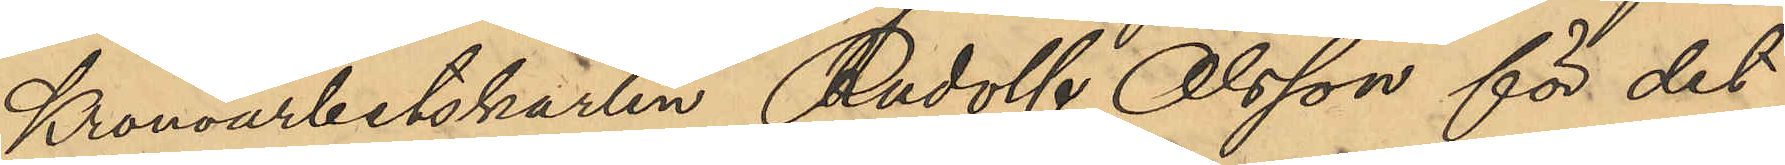Kronoarbetskarlen Rudolf Olsson för det
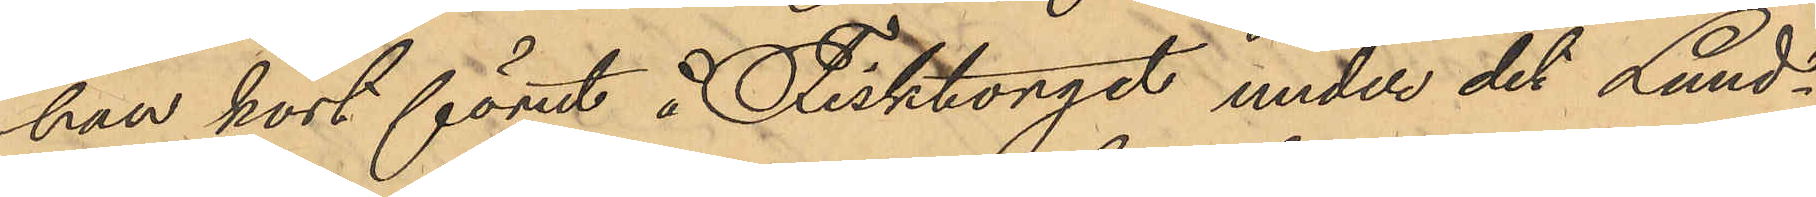han kort förut å Fisktorget under det Lund¬
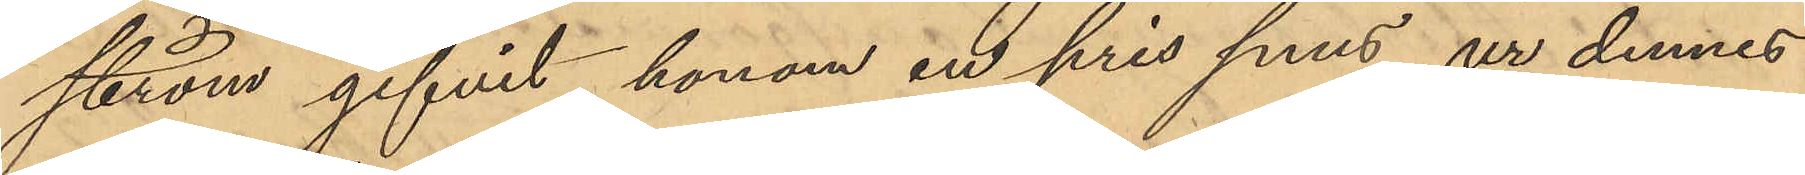ström gifvit honom en pris snus, ur dennes
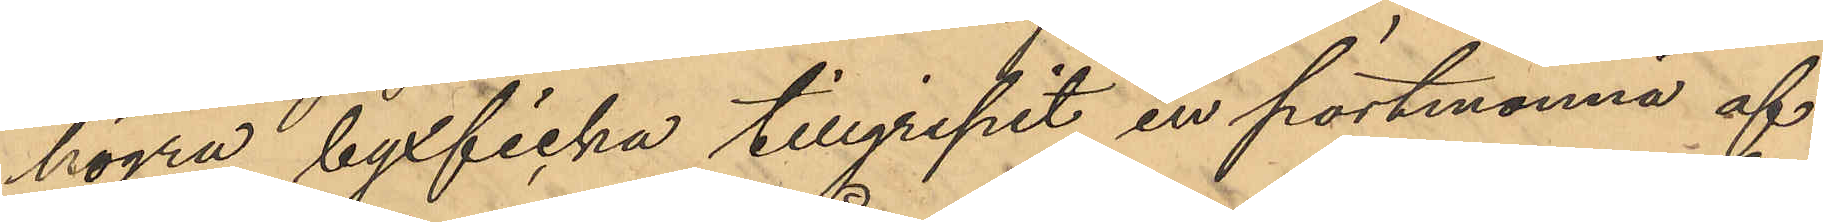högra byxficka tillgripit en portmonnä af
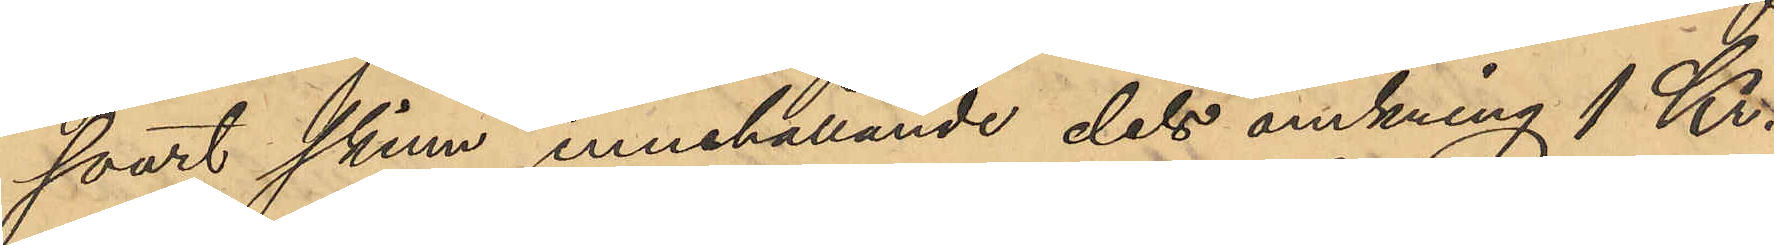svart skinn, innehållande dels omkring 1 Kr.
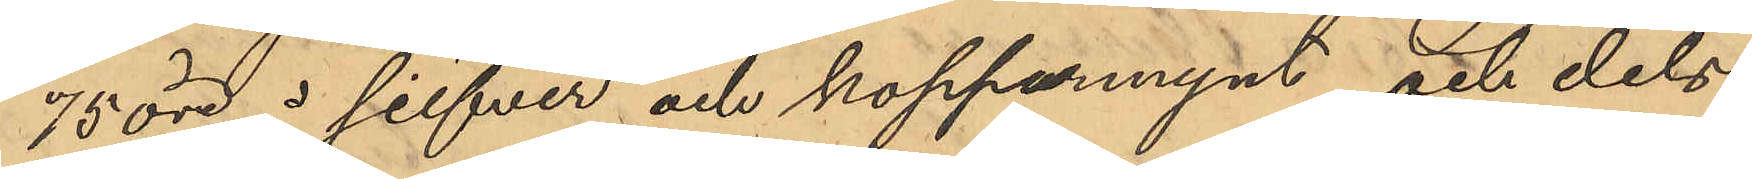75 öre i silfver och kopparmynt och dels
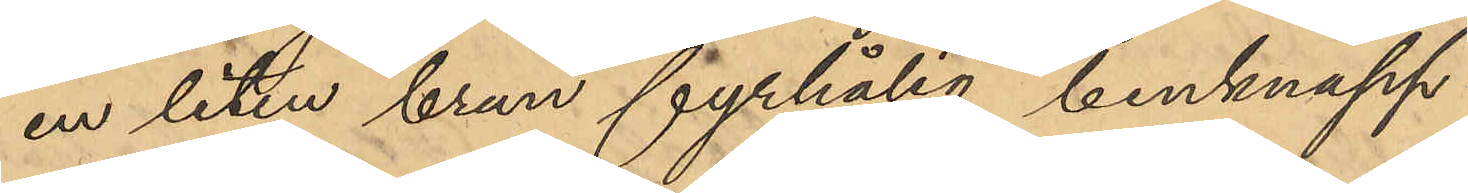en liten brun fyrhålig benknapp
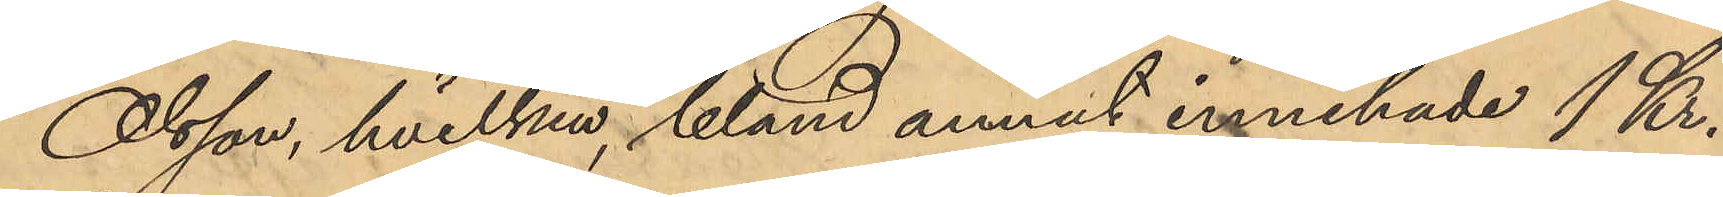Olsson, hvilken bland annat innehade 1 Kr.
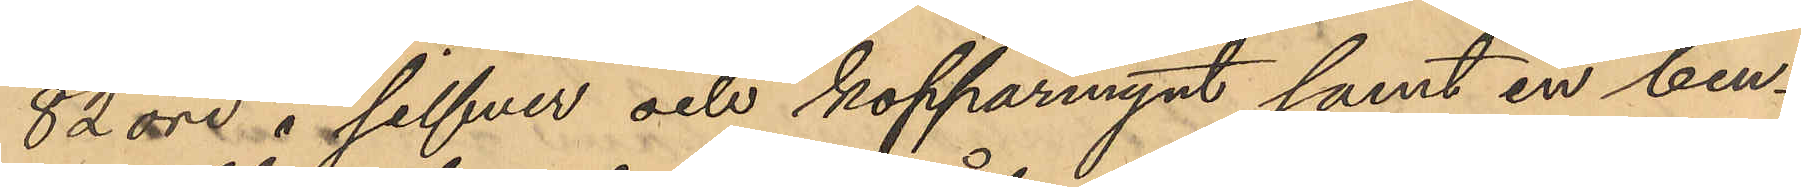82 öre i silfver och kopparmynt samt en ben¬
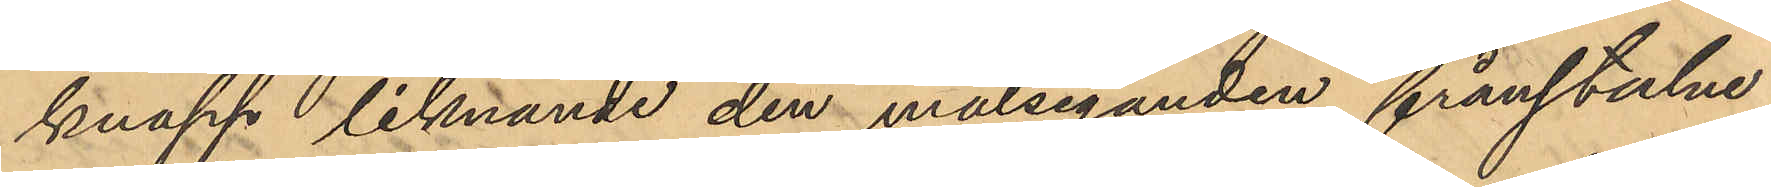knapp liknande den målseganden frånstulne,
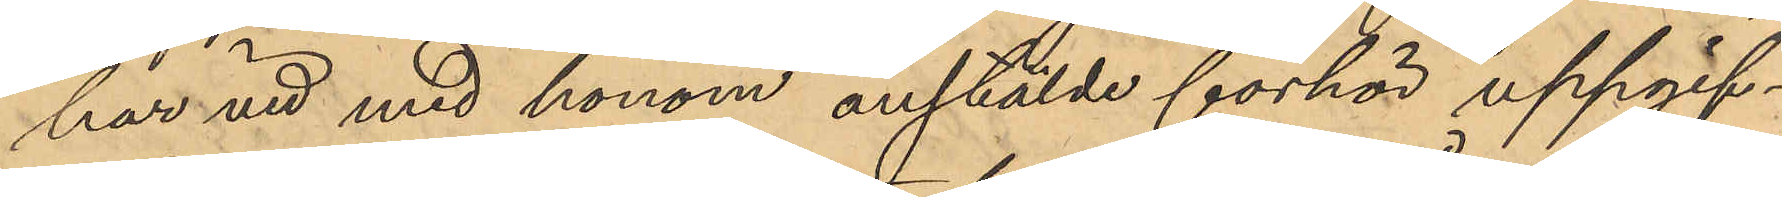har vid med honom anstälde förhör uppgif¬
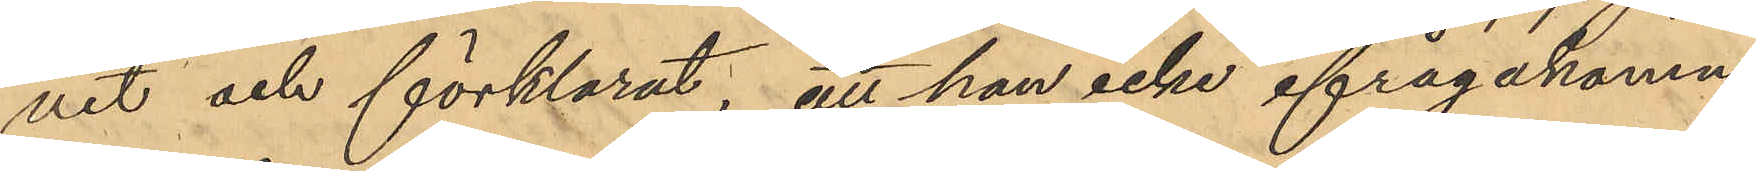vit och förklarat, att han icke ifrågakomne
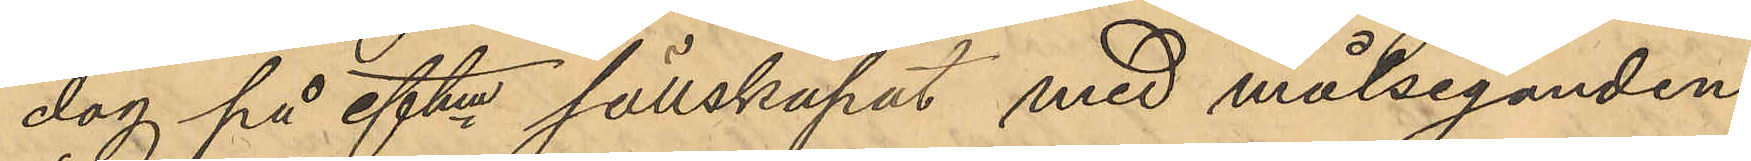dag på eftm sällskapat med målseganden,
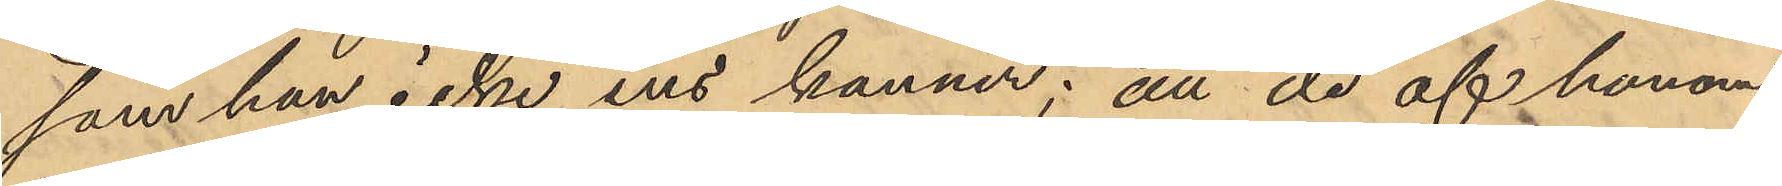som han icke ens känner; att de af honom
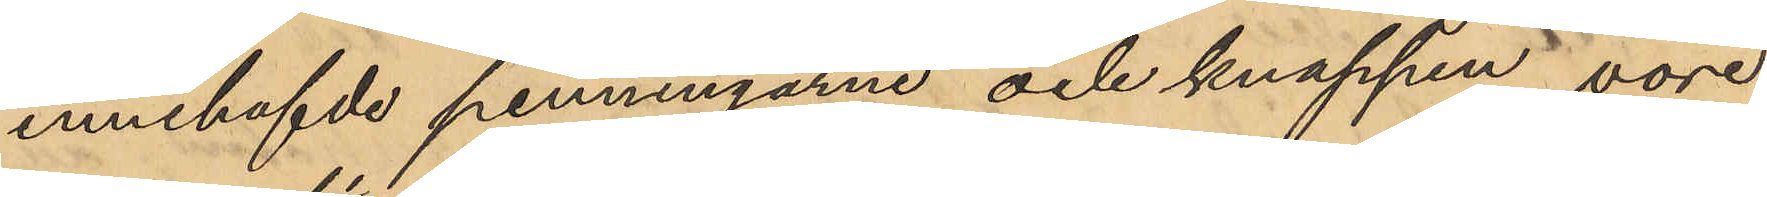innehafde penningarne och knappen vore
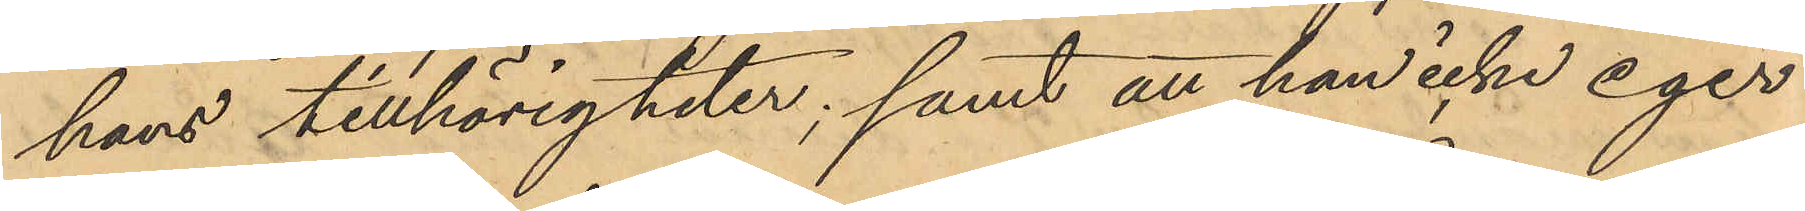hans tillhörigheter; samt att han icke eger
